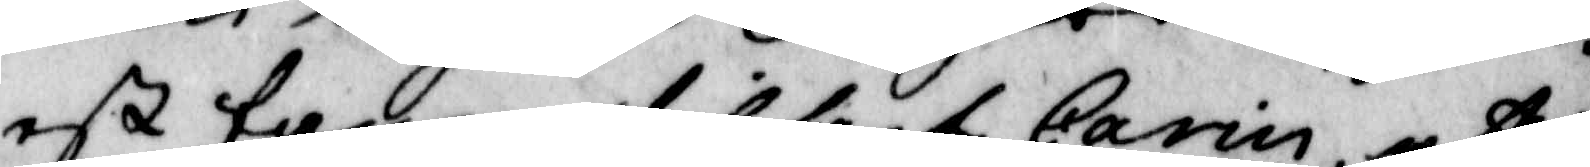est fanen tillsagt Carin, att
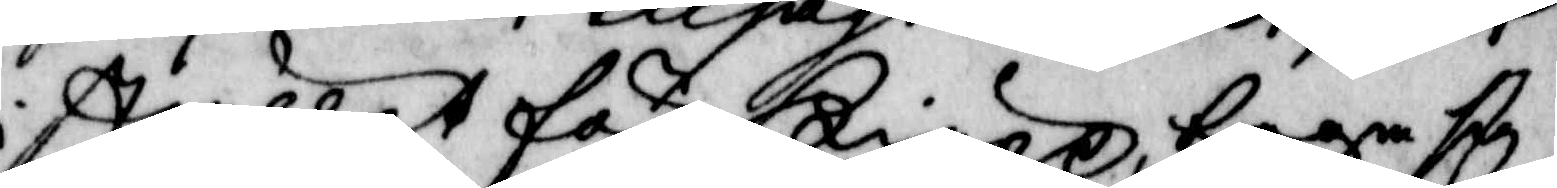i stället för kiäpp, taga sig
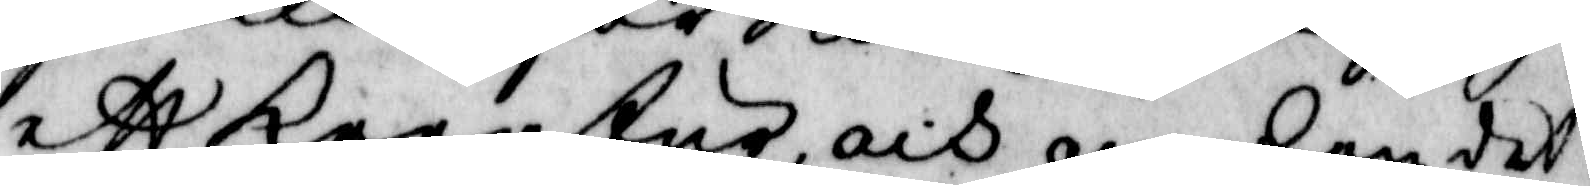ett kreatur, och om hon det
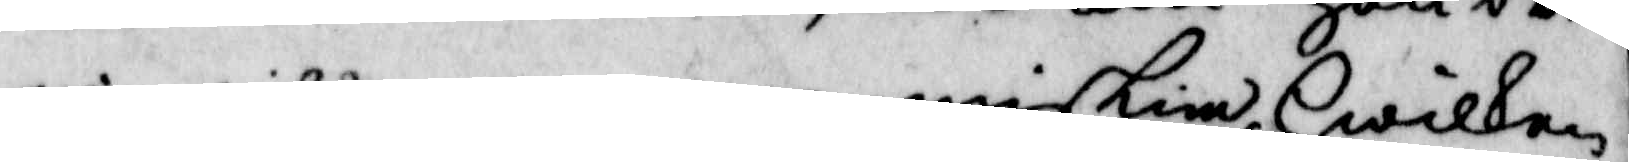ei wille, en menniskia, Hwilken
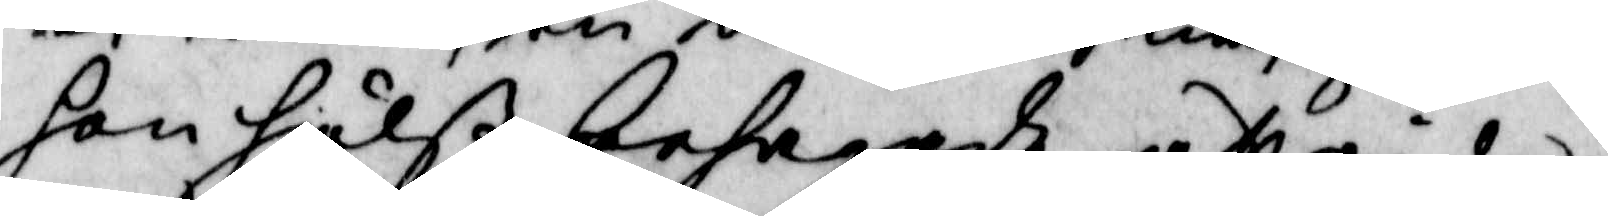hon hälst behagade, att rida
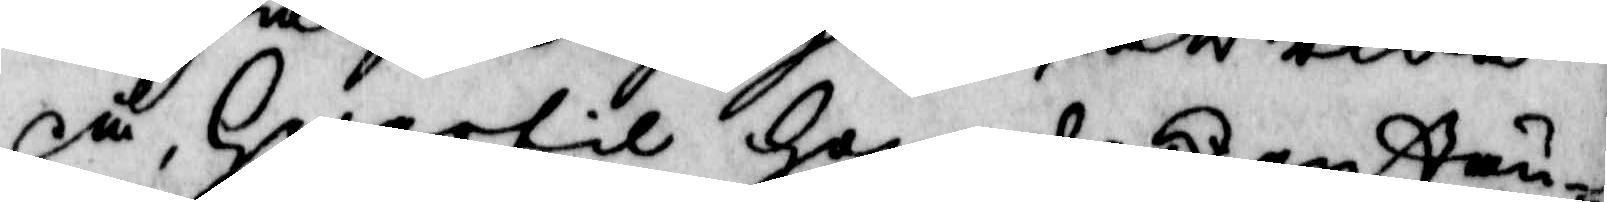på, Hwartil Hon att enstän¬
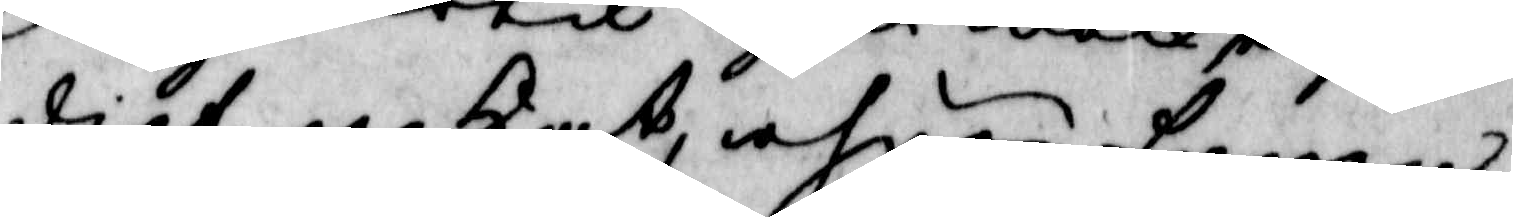digt nekat, ahnen fanen
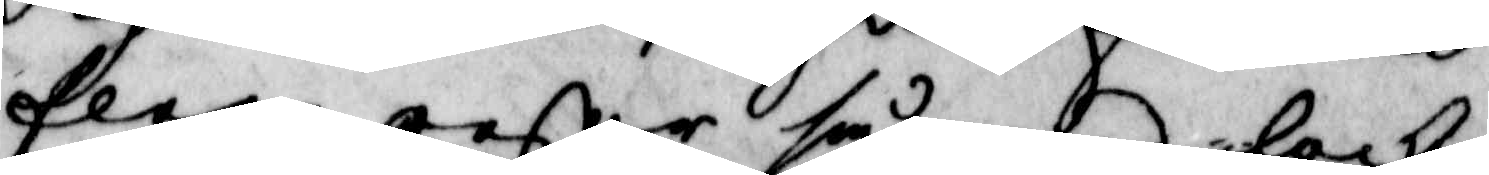flere resor så med lock
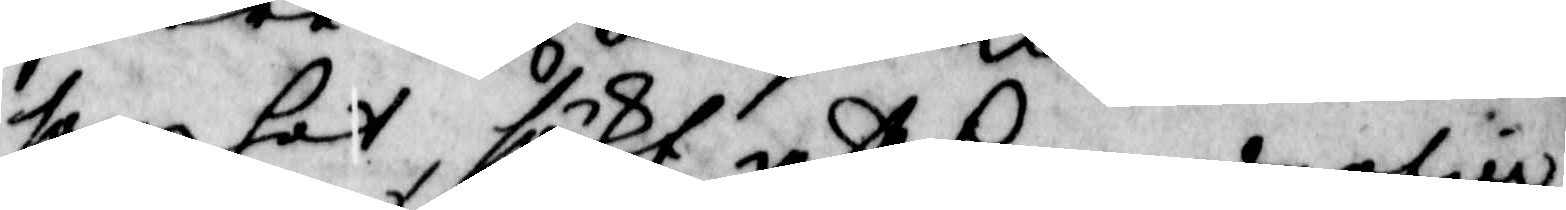som hot sökt att henne dertill
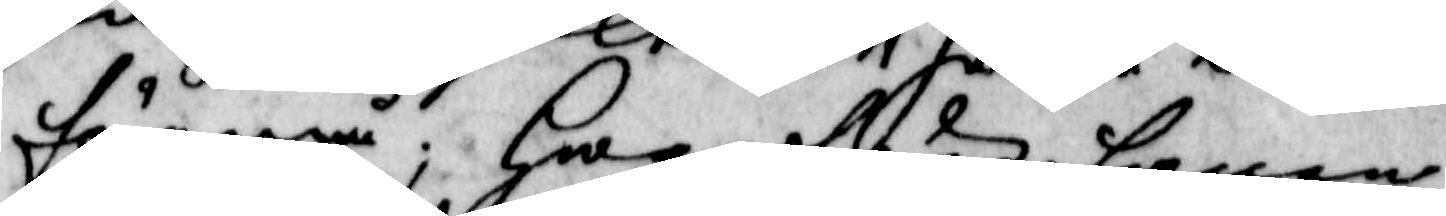förmå; Hwarföre fanen
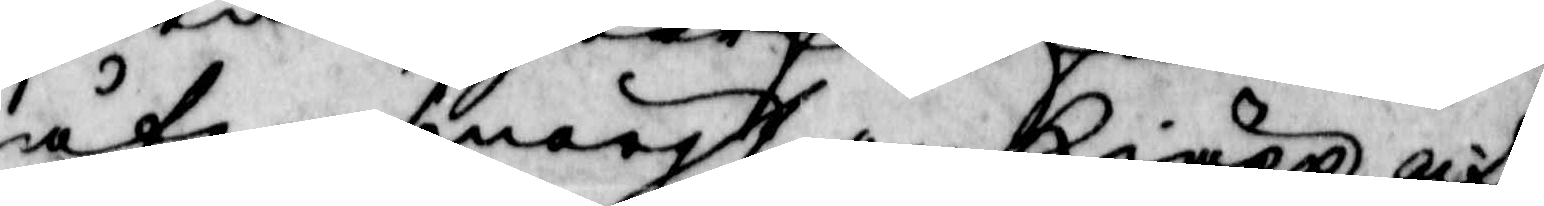åter smörgt en kiäpp, och
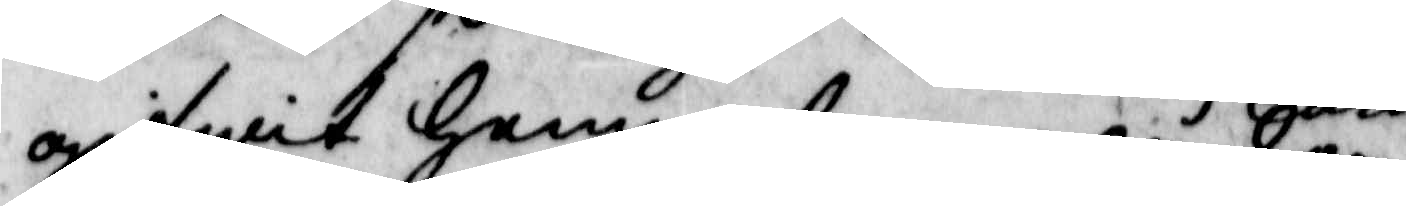gifwit henne, hwarpå hon, 
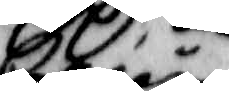Carin
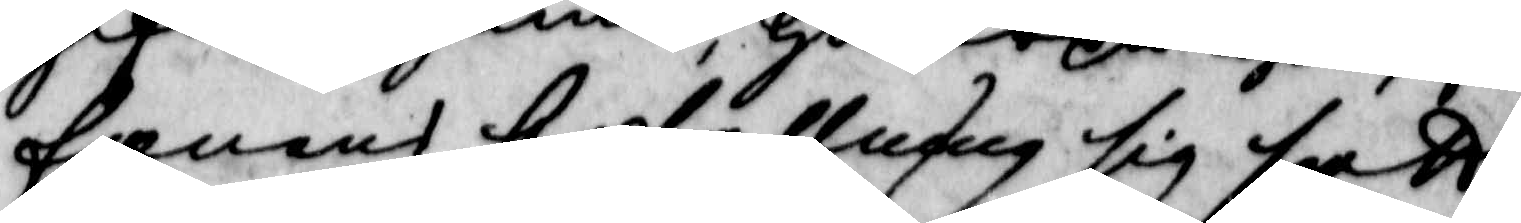fanens befallning sig satt,
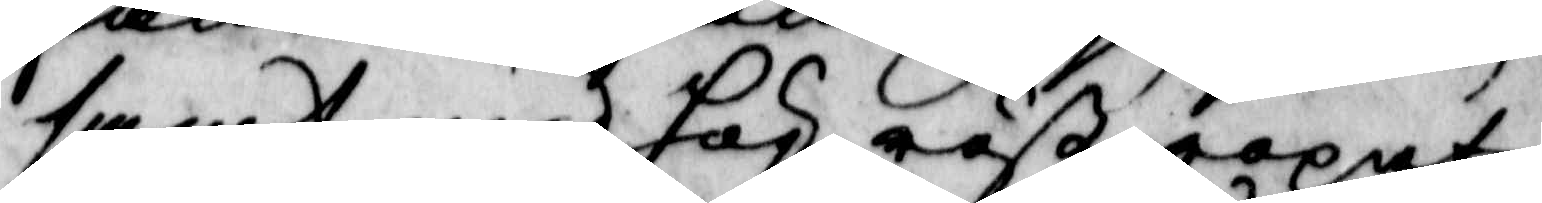samt med hög röst ropat
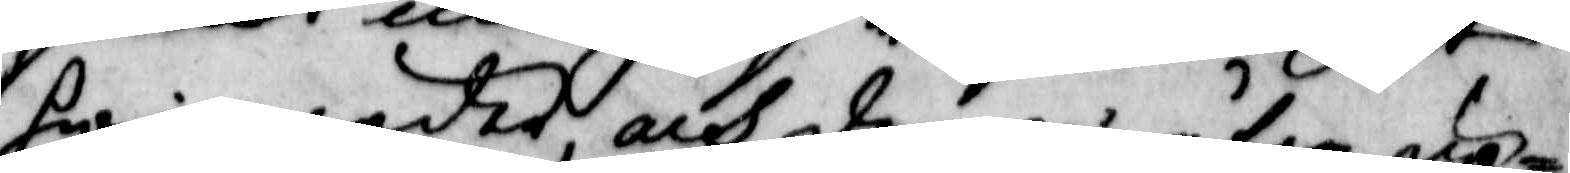hwi wäder, och derpå åter up¬
